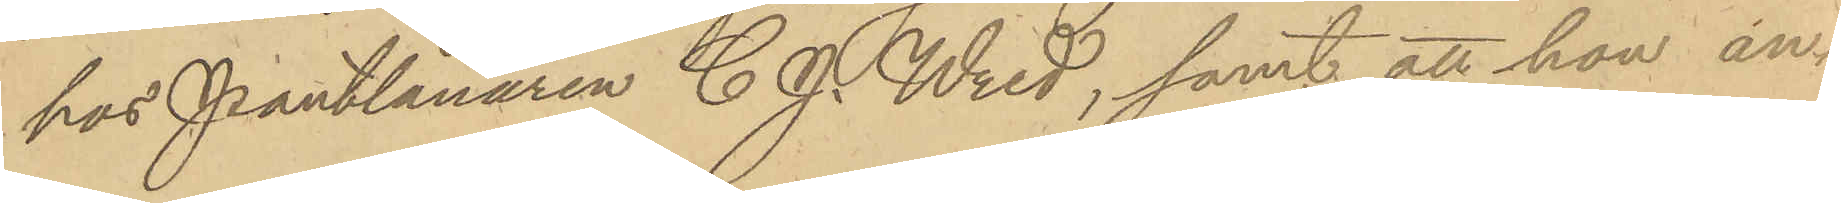hos Pantlånaren C. J. Wred, samt att hon an¬
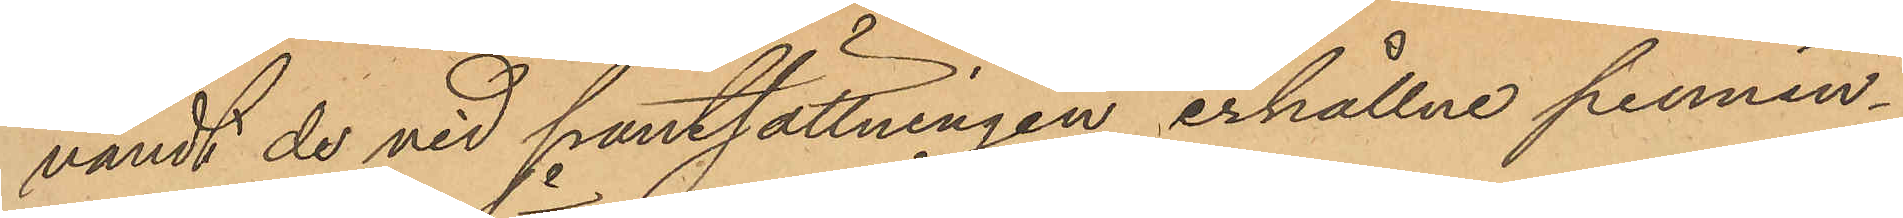vändt de vid pantsättningen erhållne pennin¬
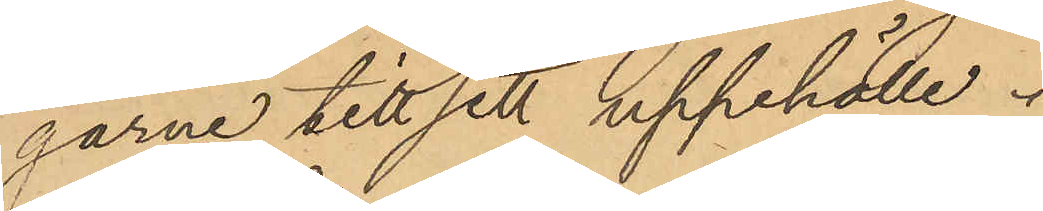garne till sitt uppehälle.
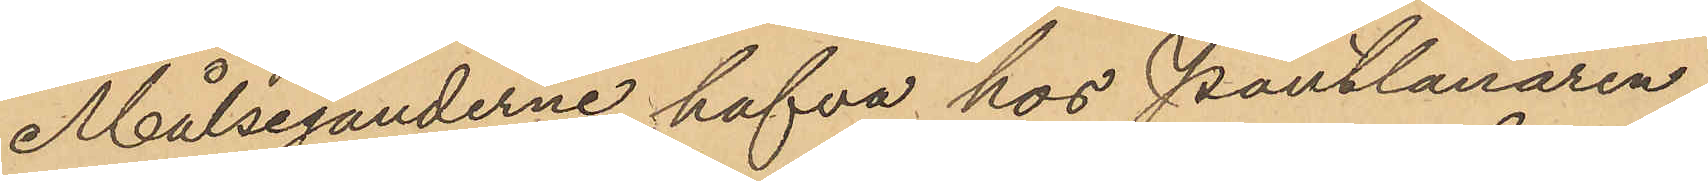Målseganderne hafva hos Pantlånaren
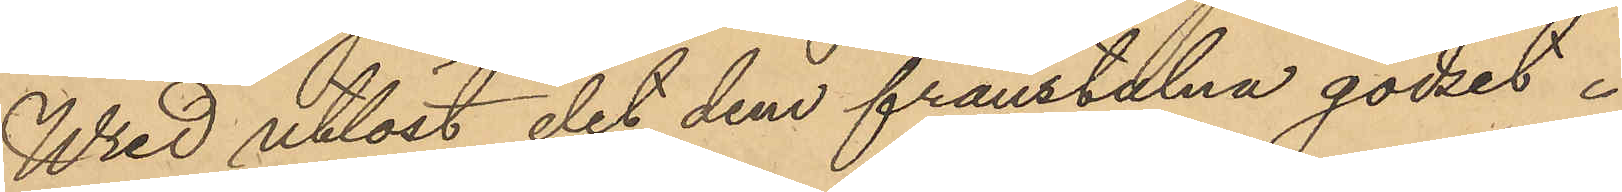Wred utlöst det dem frånstulna godset.
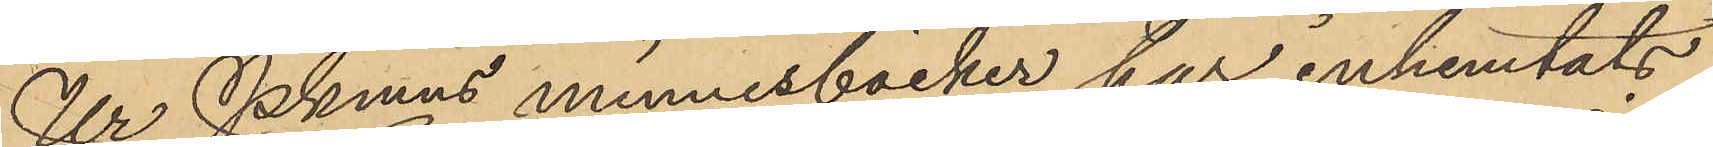Ur Pkmns minnesböcker har inhemtats
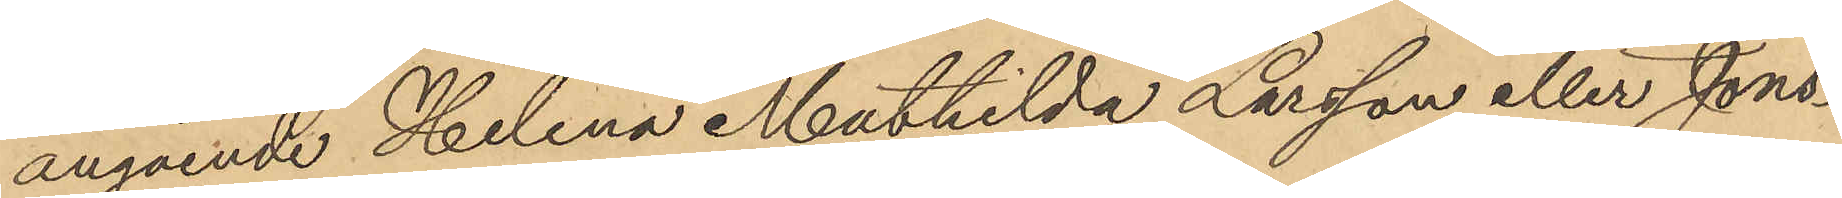angående Helena Mathilda Larsson eller Jons¬
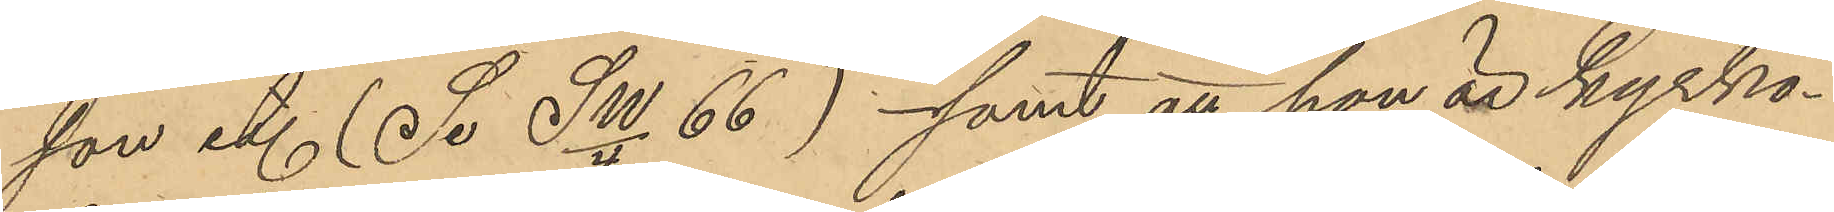son et. (Se SW/4 66) samt att hon är kyrko¬
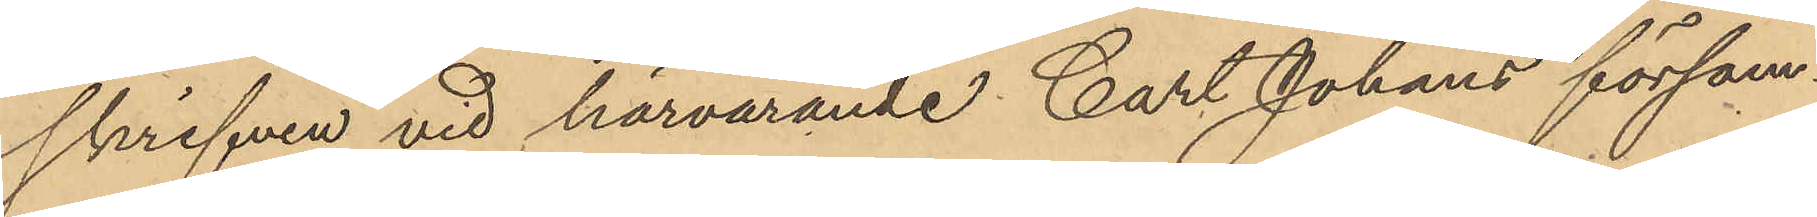skrifven vid härvarande Carl Johans försam¬
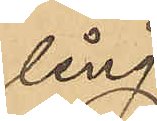ling.
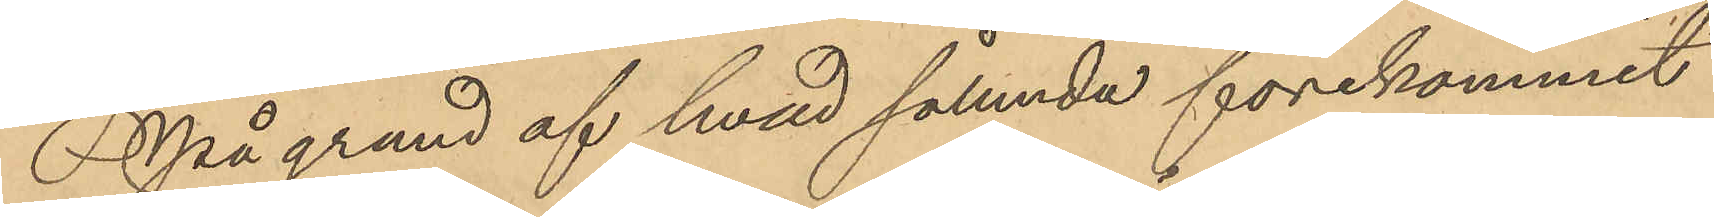På grund af hvad sålunda förekommit
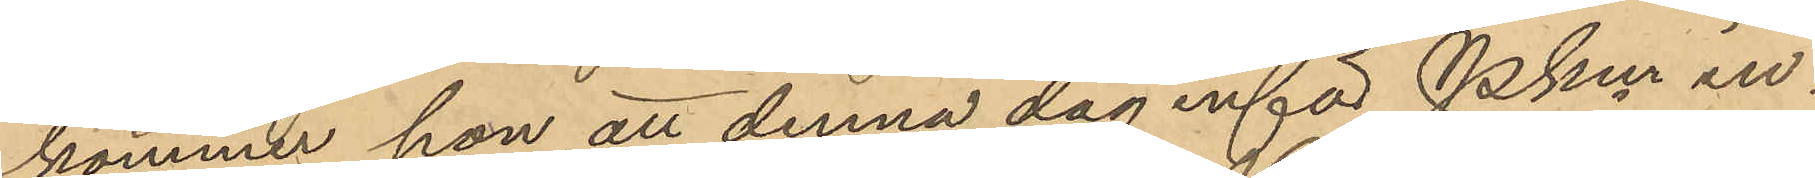kommer hon att denna dag inför Pkm in¬
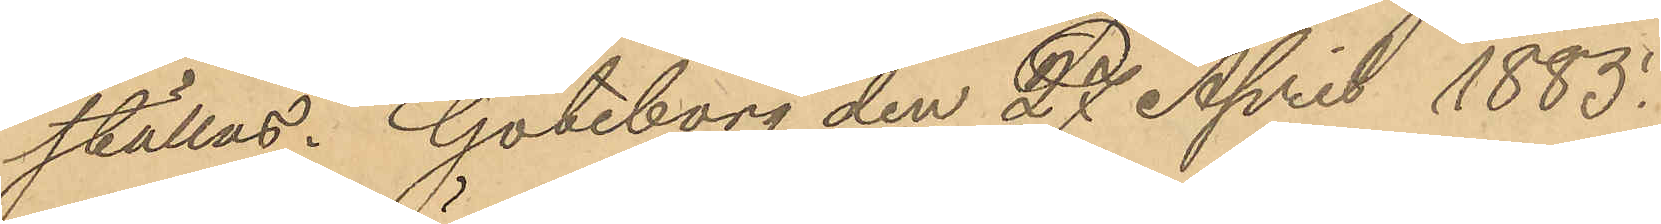ställas. Göteborg den 27 April 1885.
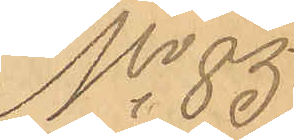No 85.
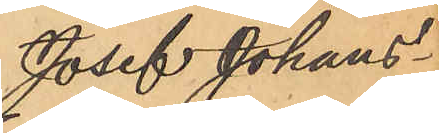Josef Johans¬
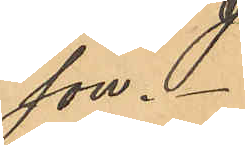son.
